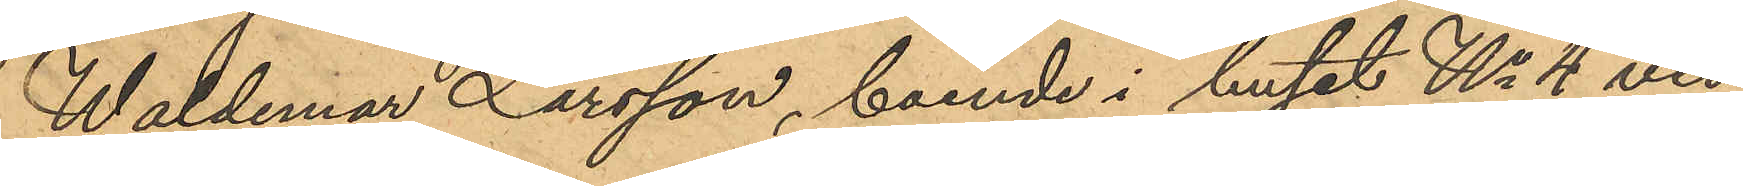Waldemar Larsson, boende i huset No 4 vid
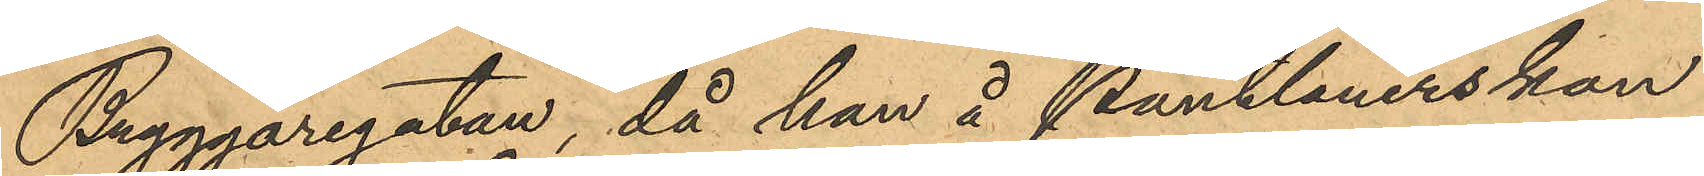Bryggaregatan, då han å Pantlånerskan
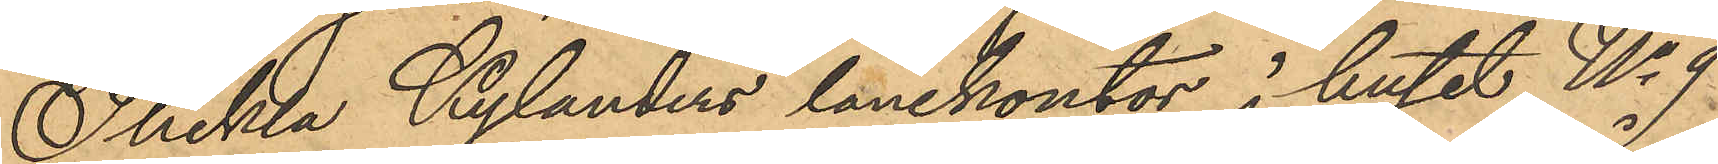Thekla Kylanders lånekontor i huset No 9
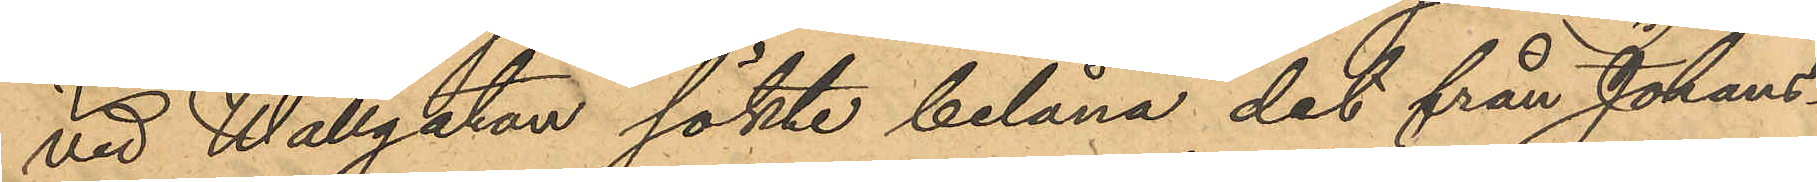vid Wallgatan sökte belåna det från Johans¬
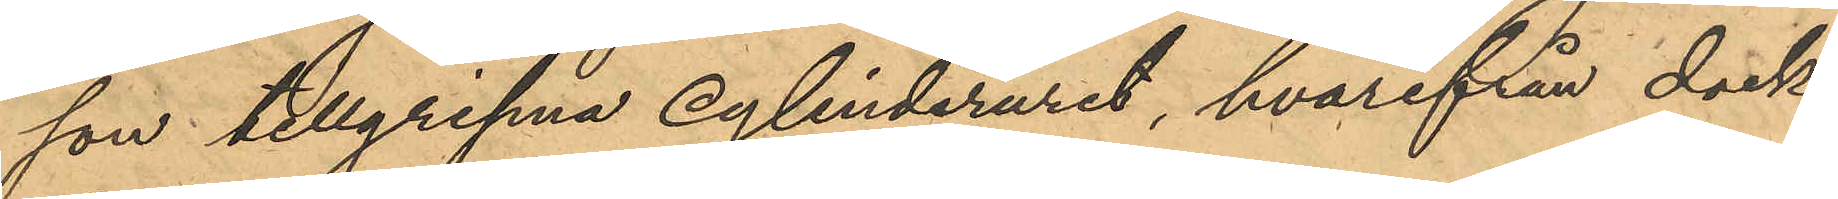son tillgripna cylinderuret, hvarifrån dock
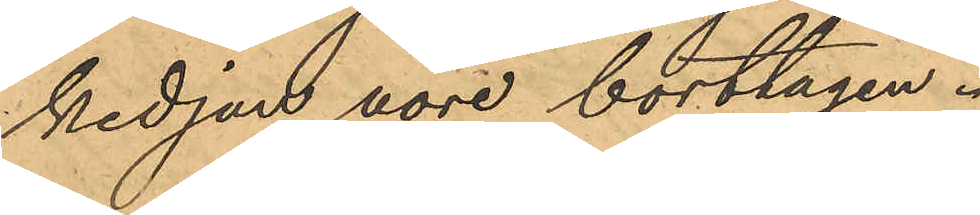kedjan vore borttagen.
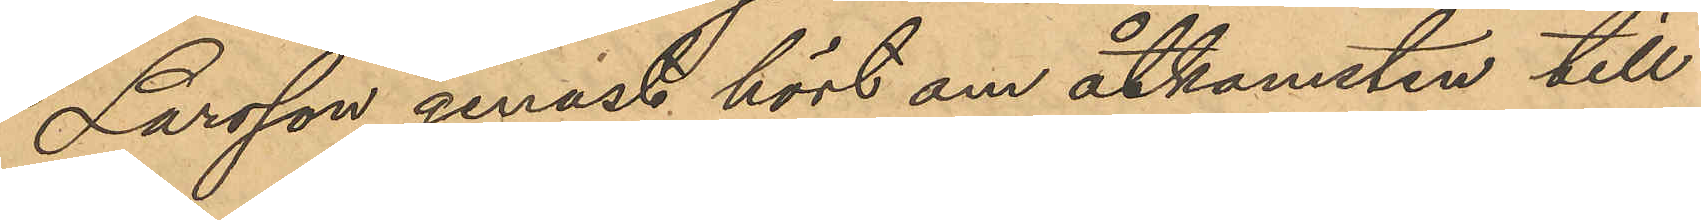Larsson genast hört om åtkomsten till
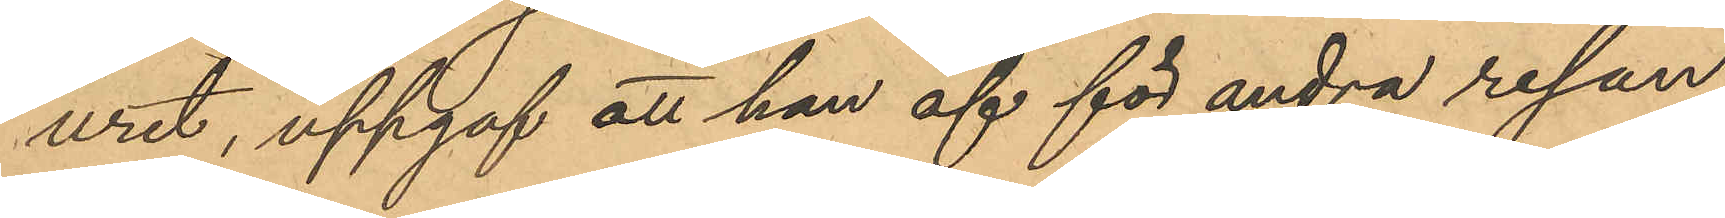uret, uppgaf att han af för andra resan
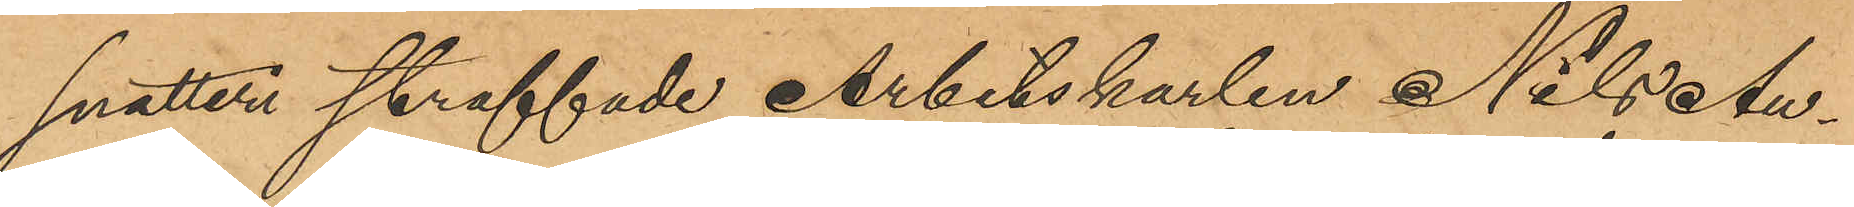snatteri straffade Arbetskarlen Nils Au¬
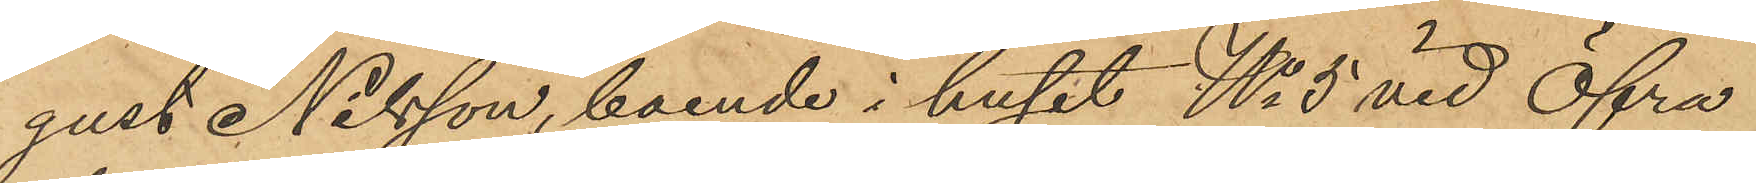gust Nilsson, boende i huset No 5 vid Öfra
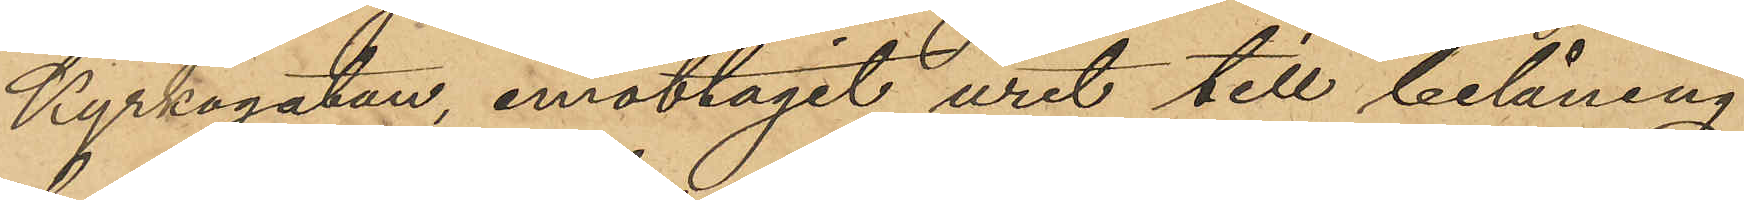Kyrkogatan, emottagit uret till belåning
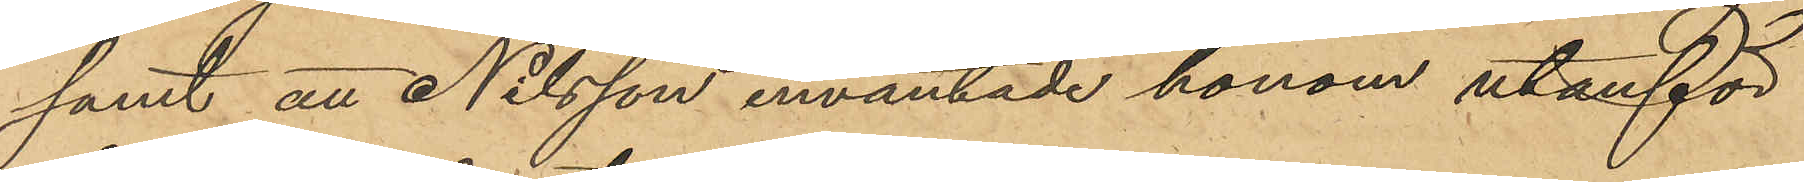samt att Nilsson inväntade honom utanför
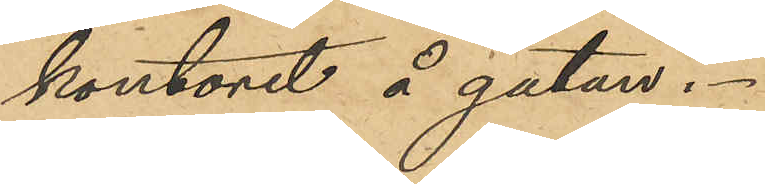kontoret å gatan.
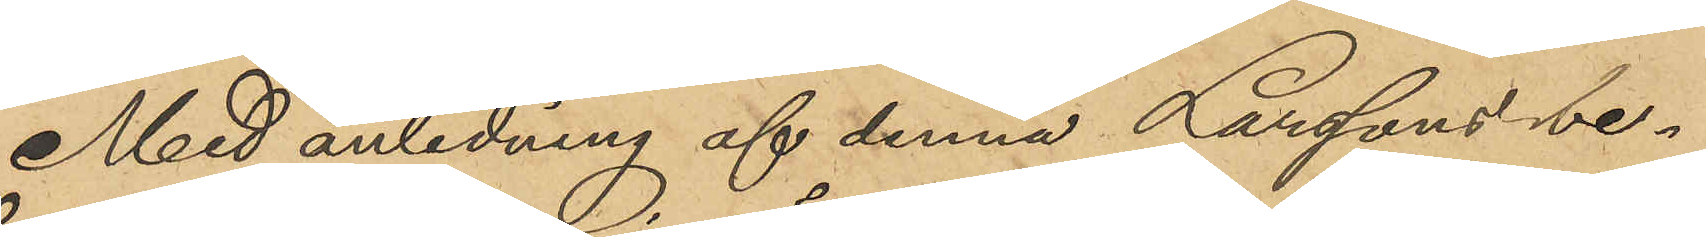Med anledning af denna Larssons be¬
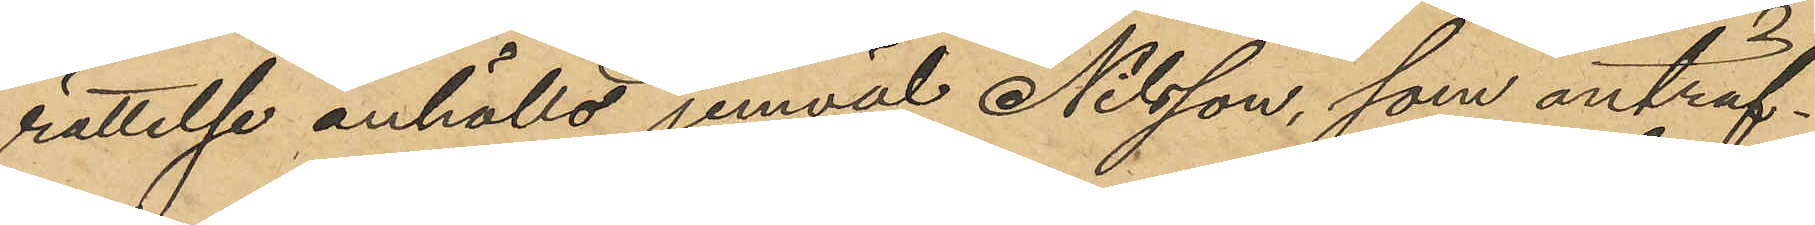rättelse anhölls jemväl Nilsson, som anträf¬
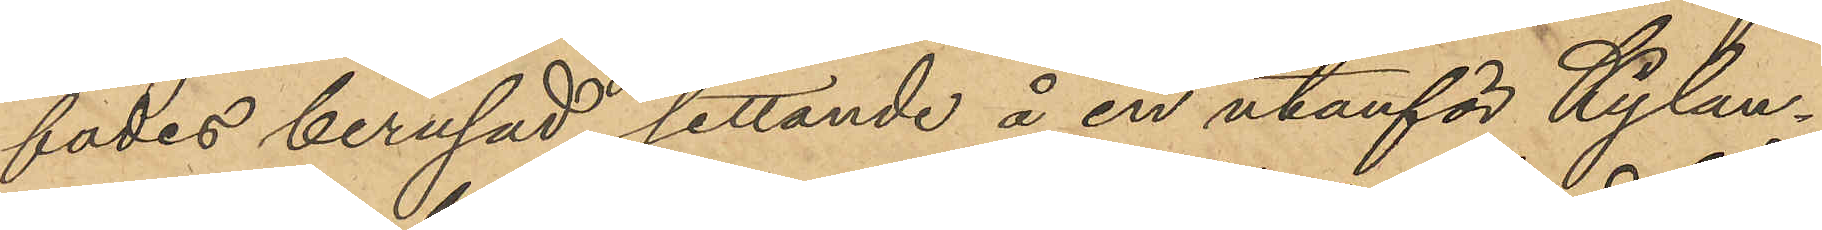fades berusad sittande å en utanför Kylan¬
